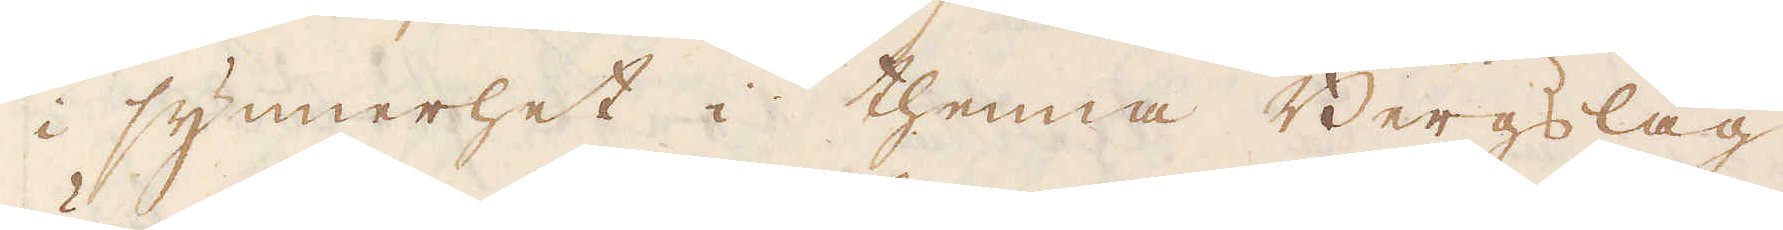i synnerhet i thenna Bergslag
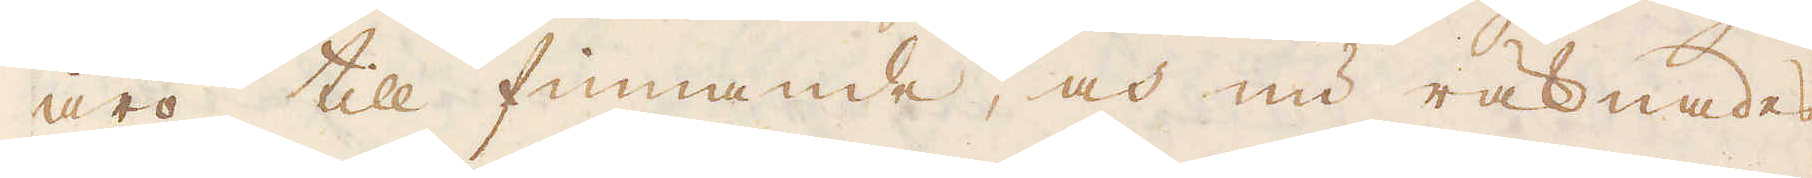äro till finnande, och nu räknades
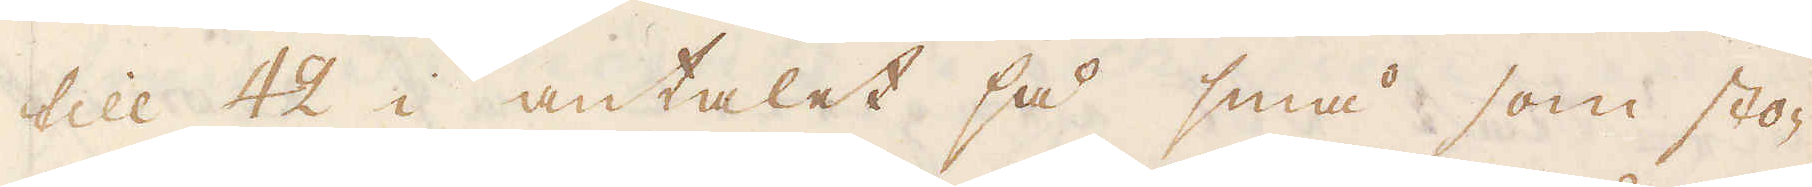till 42 i antalet så små som sto-
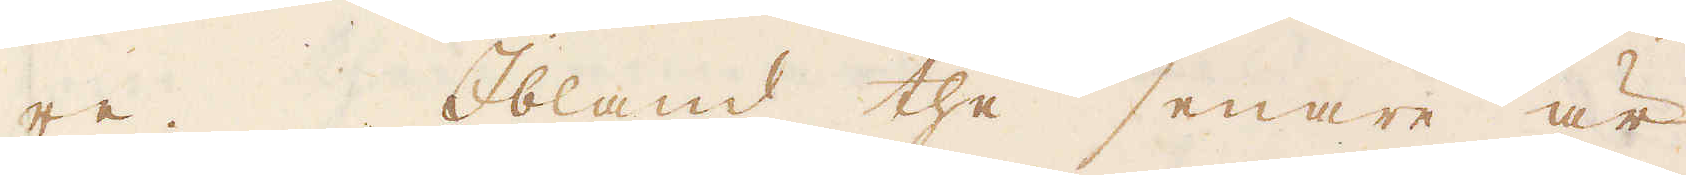re. Ibland the senare är
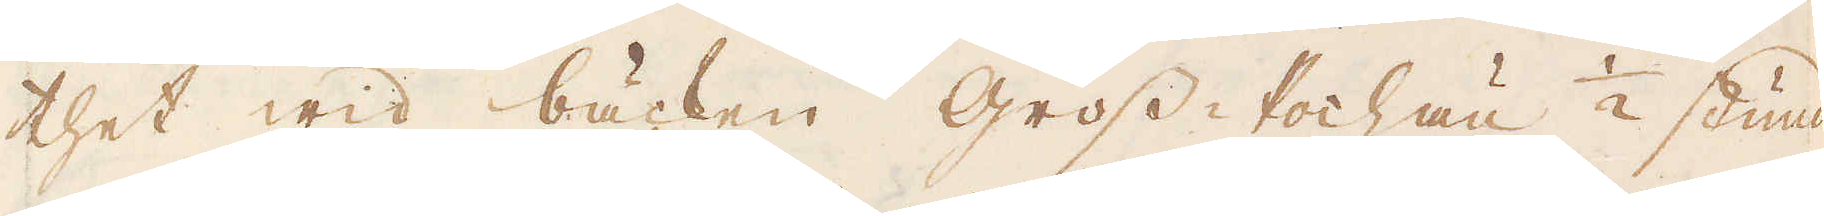thet wid bäcken Gross-Pochau 1/2 stund
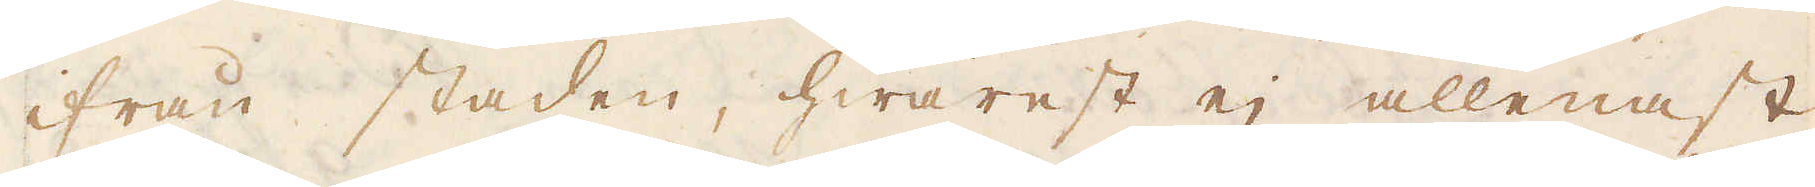ifrån staden, hwarest ej allenast
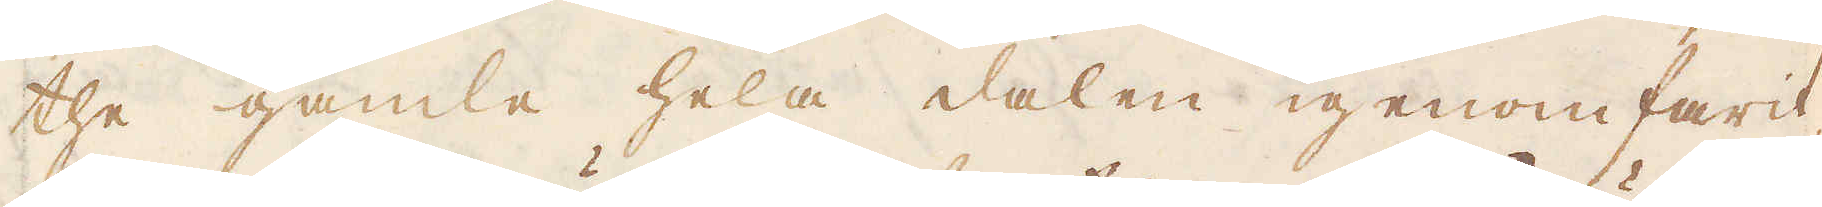the gamle hela dalen igenomfarit,
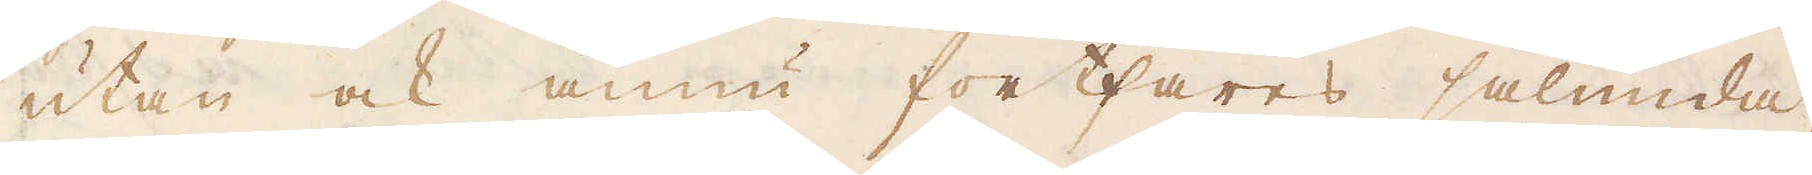utan ock ännu fortfares sålunda,
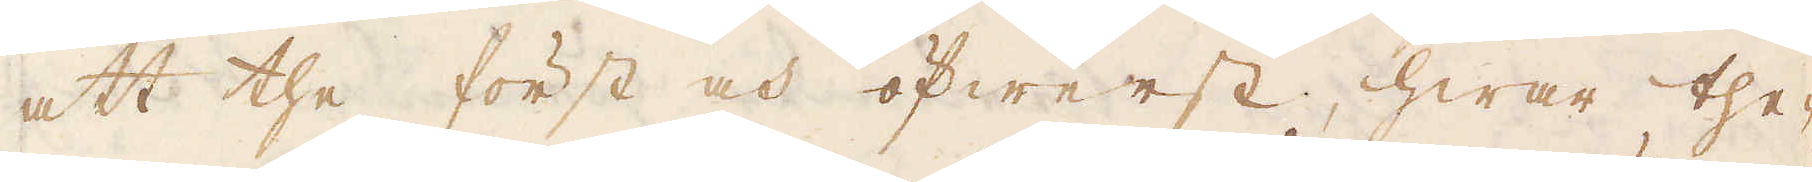att the först och öfwerst, hwar the-
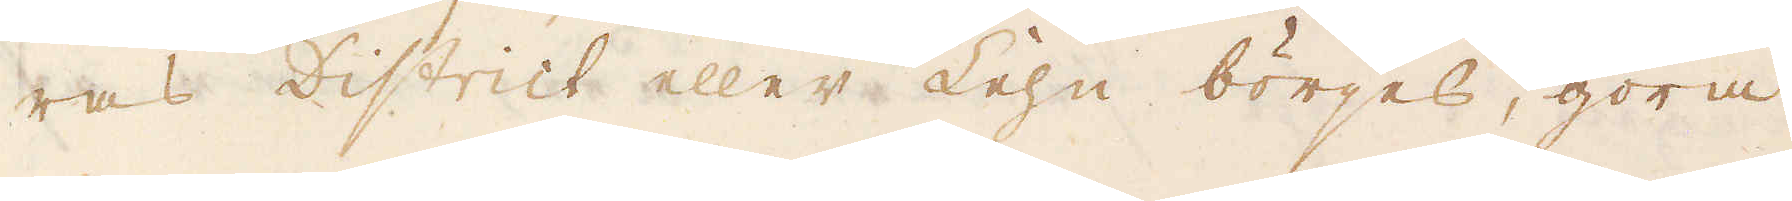ras District eller Lehn börjes, göra
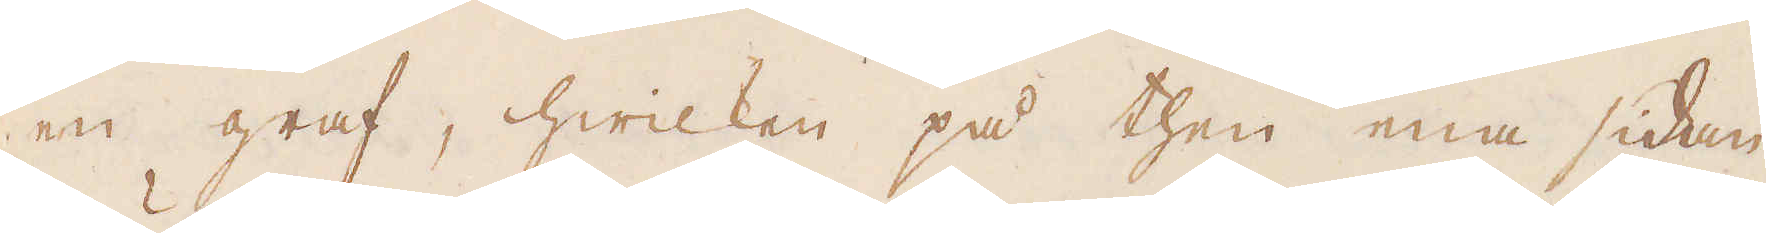en graf, hwilken på then ena sidan
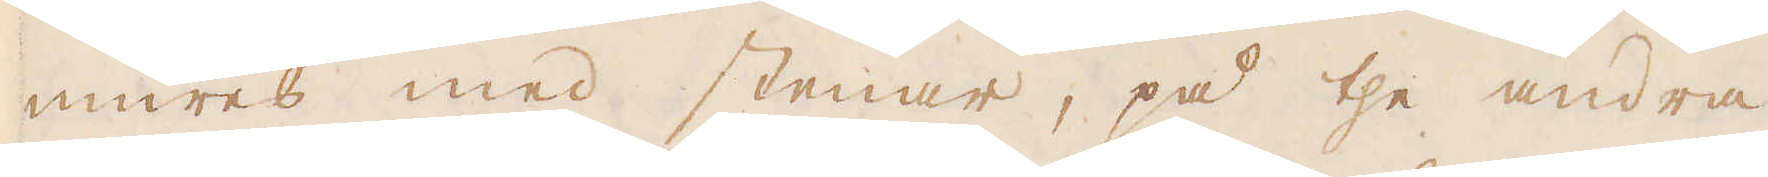mures med stenar, på the andra
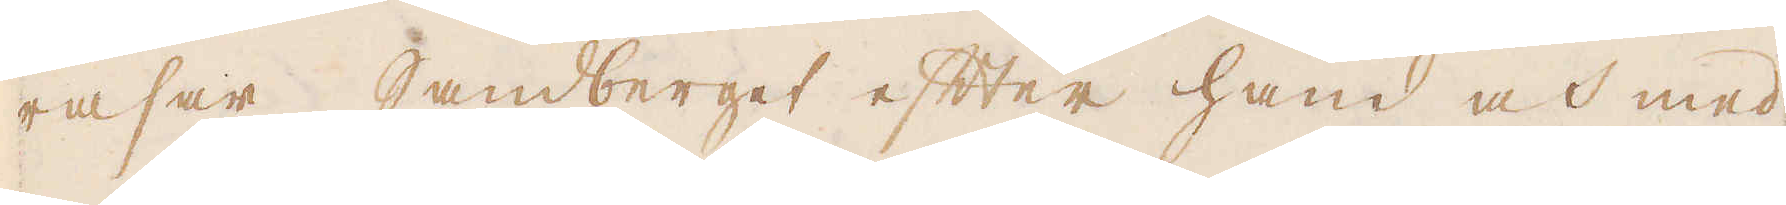rasar Sandberget efter hand och med
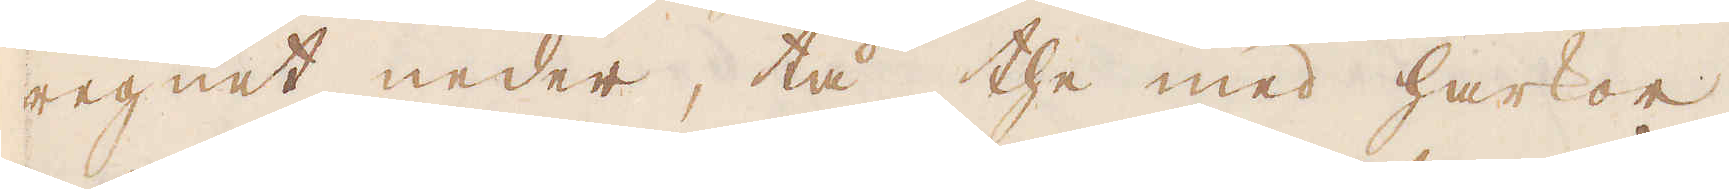regnet neder, tå the med harkor
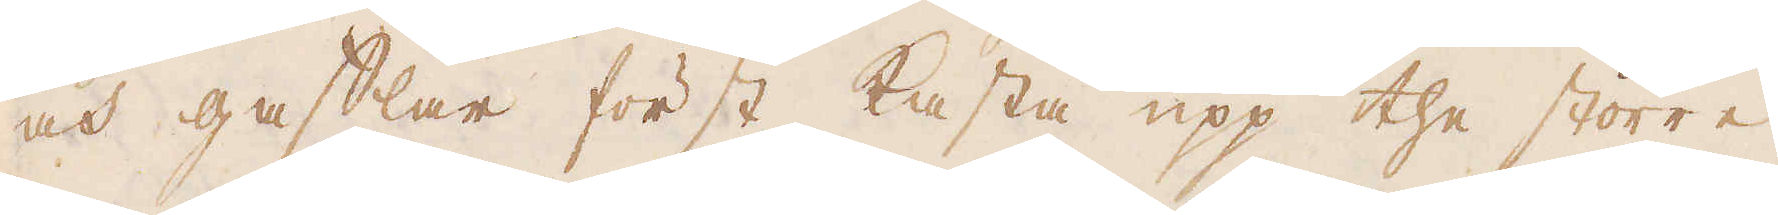och gafflar först kasta upp the större
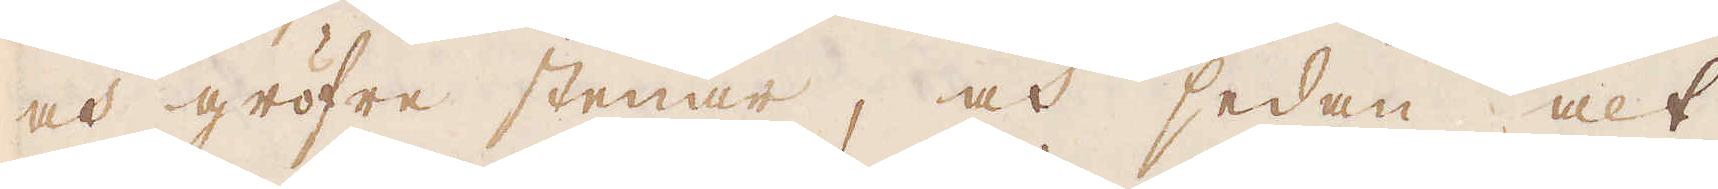och gröfre stenar, och sedan alt
